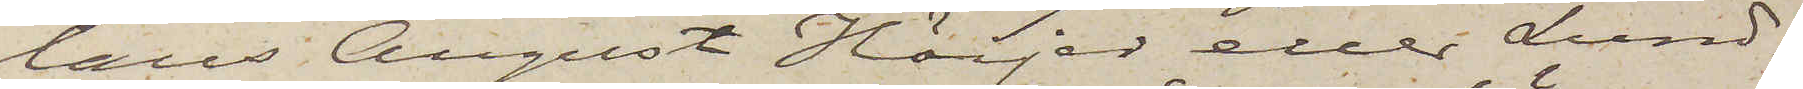laus August Höijer eller Lund¬
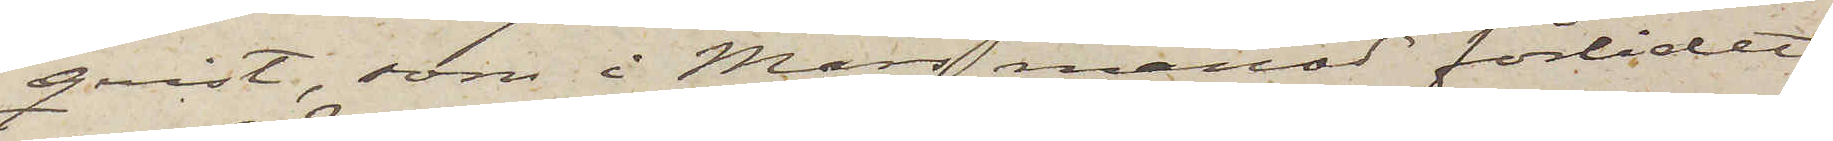qvist, som i Mars månad förlidet
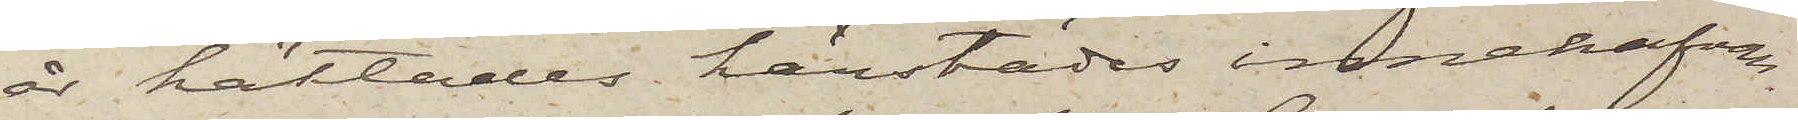år häktades härstädes innehafvan¬
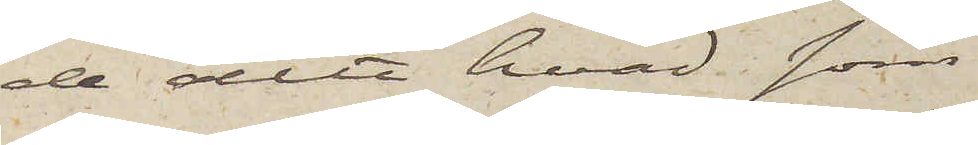de allt hvad som
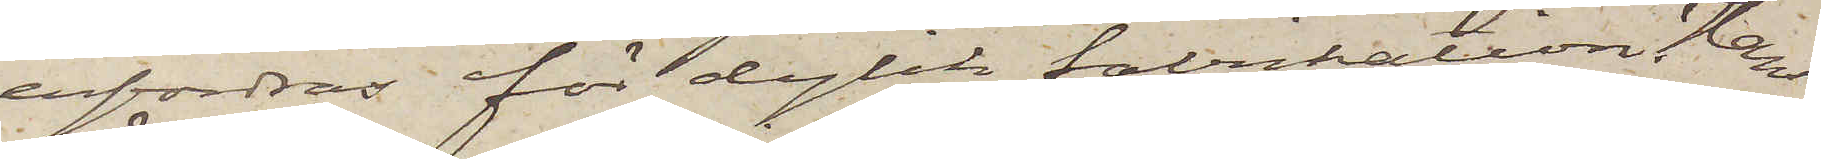erfordras för dylik fabrikation. Han
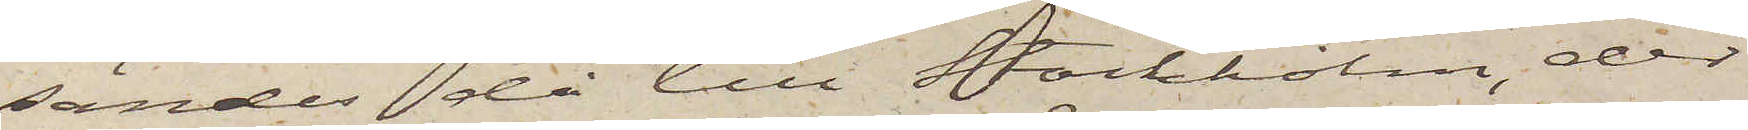sändes då till Stockholm, der
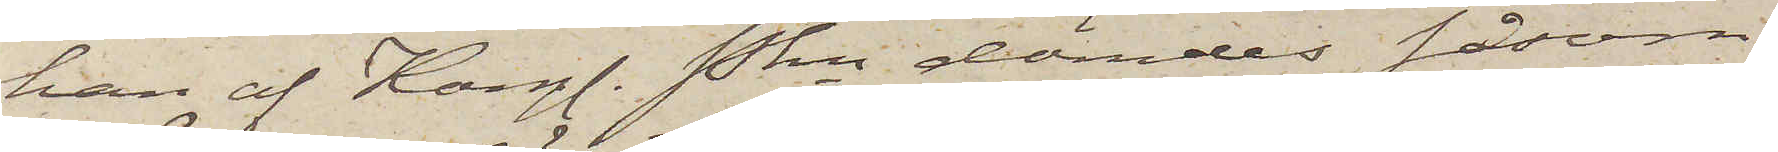han af Kongl. Pkn dömdes såsom
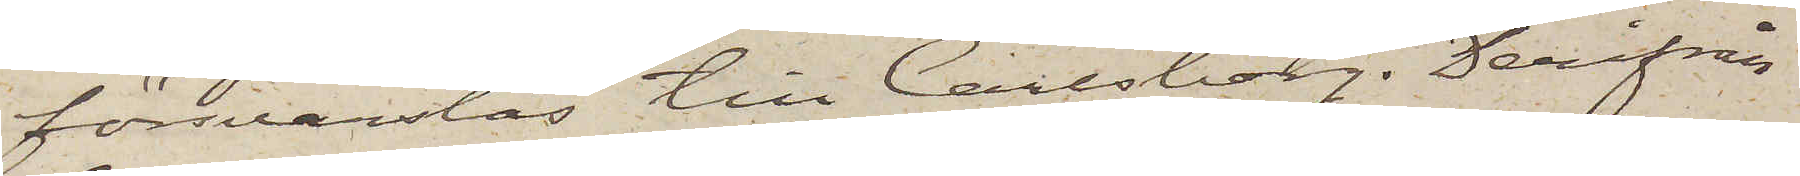försvarslös till Carlsborg. Derifrån
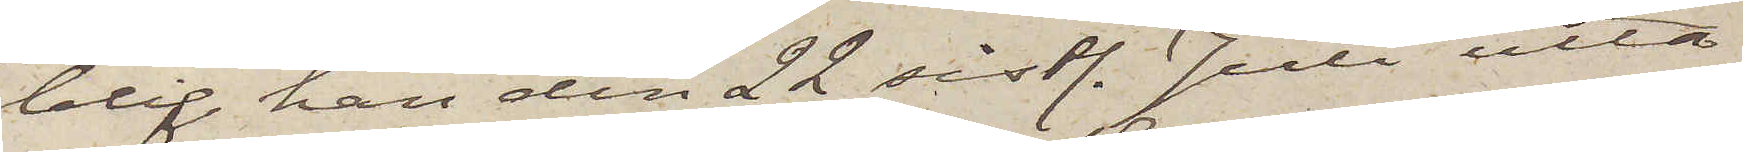blif han den 22 sistl. Juli utta¬
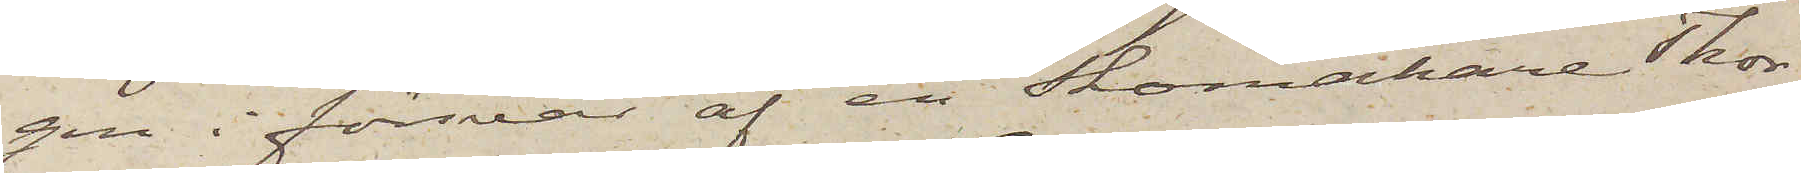gen i försvar af en skomakare Thor¬
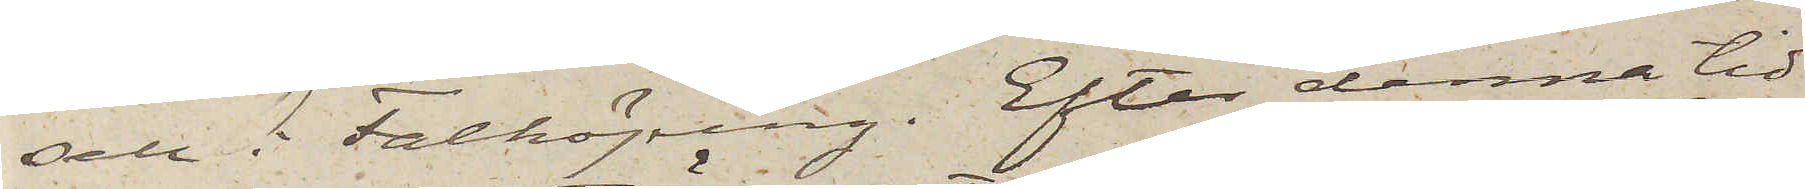sell i Falköping. Efter denna tid
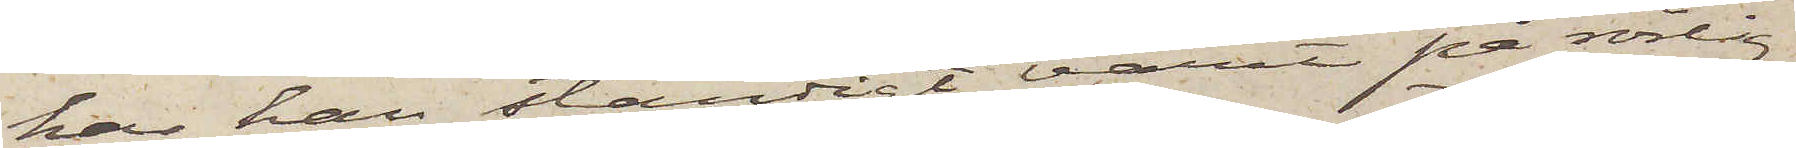har han ständigt varit på rörlig
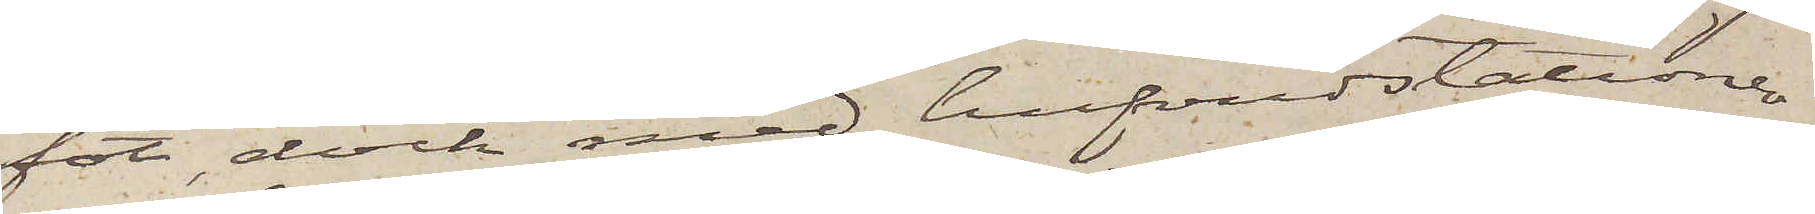fot, dock med hufvudstationer
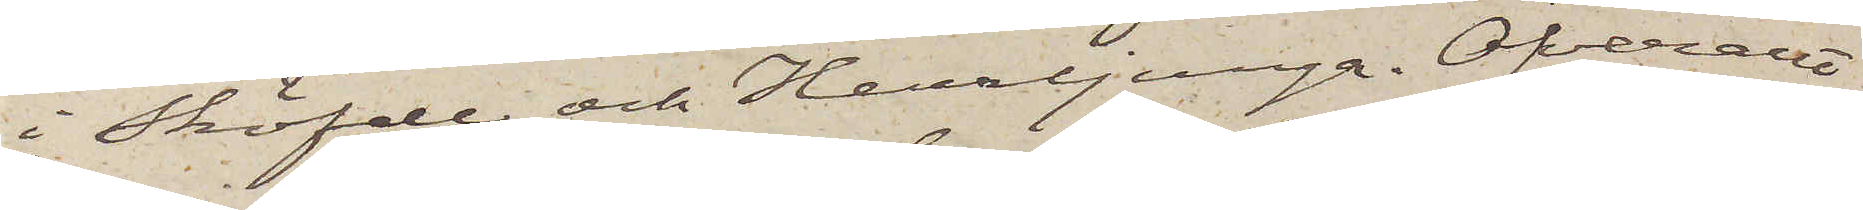i Sköfde och Herrljunga. Öfverallt
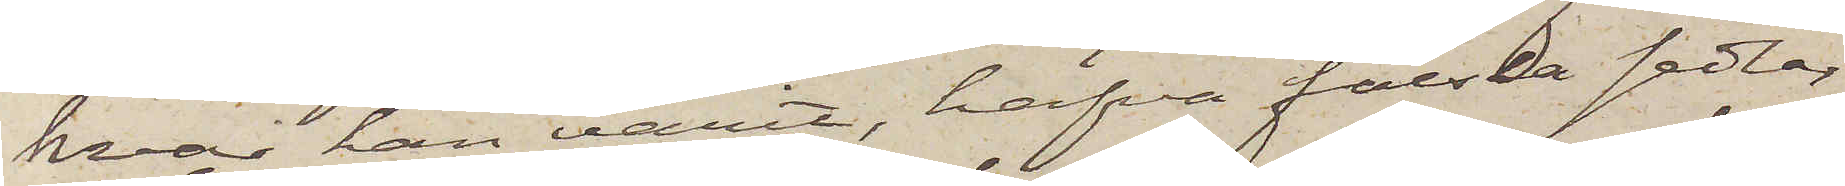hvar han varit, hafva falska sedlar
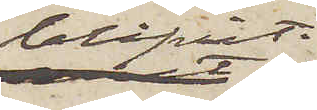blifvit
